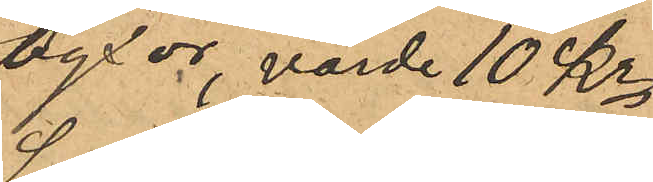byxor, värde 10 Kr;
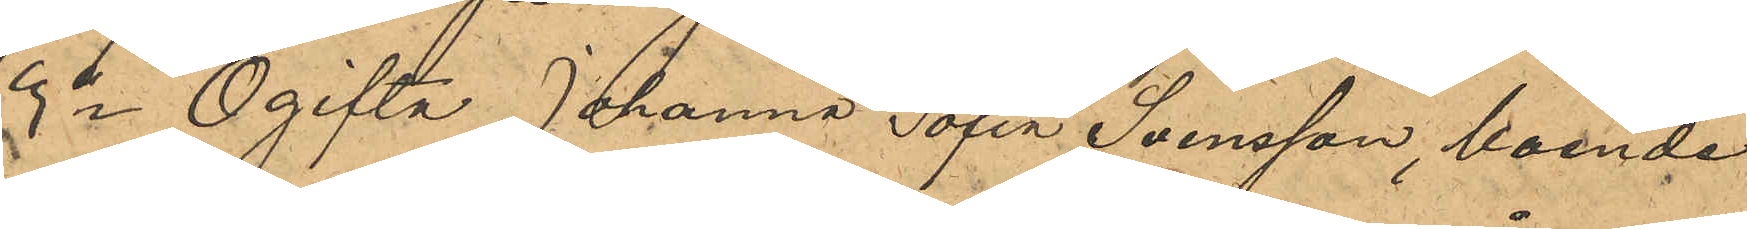3o Ogifta Johanna Sofia Svensson, boende
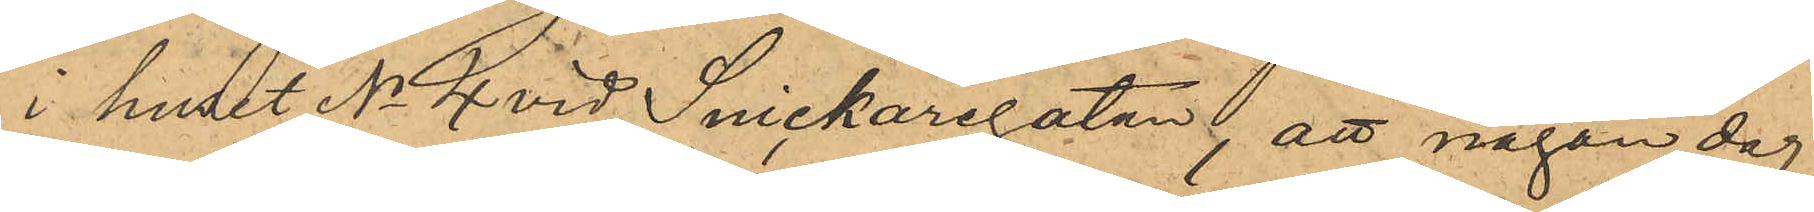i huset No 4 vid Snickaregatan, att någon dag
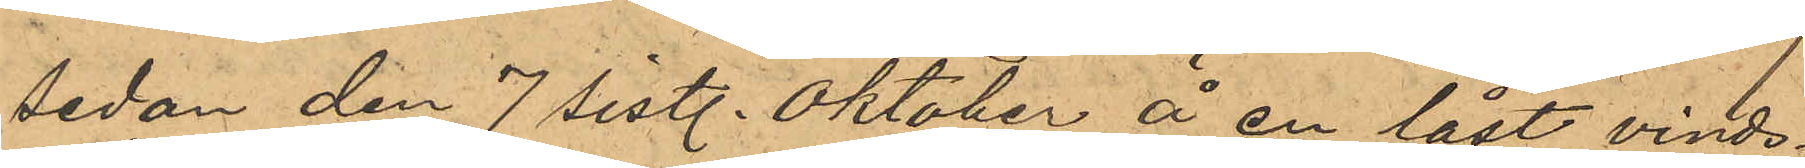sedan den 7 sistl. Oktober å en låst vinds¬
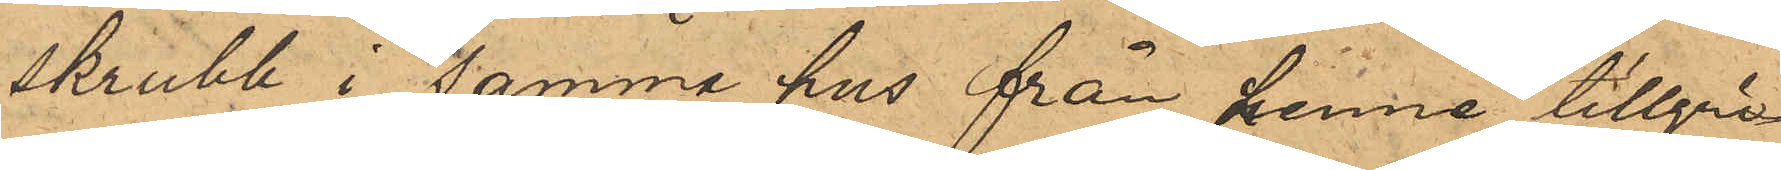skrubb i samma hus från henne tillgri¬
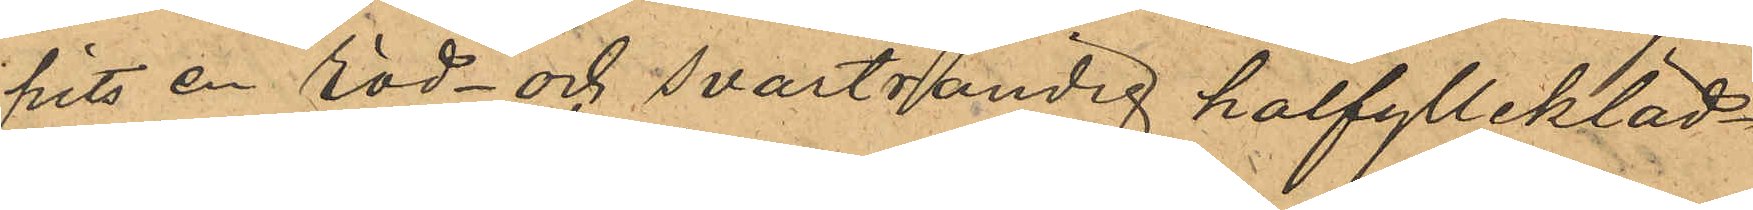pits en röd- och svartrandig halfyllekläd¬
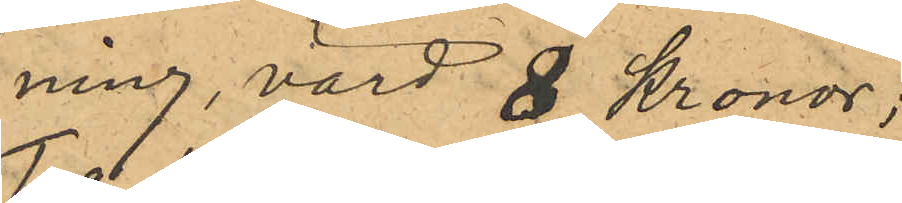ning, värd 8 Kronor;
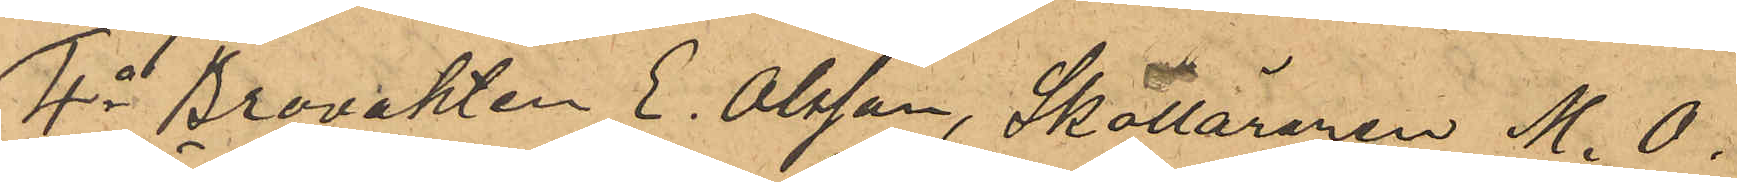4o Brovakten E. Olsson, Skolläraren M. 0.
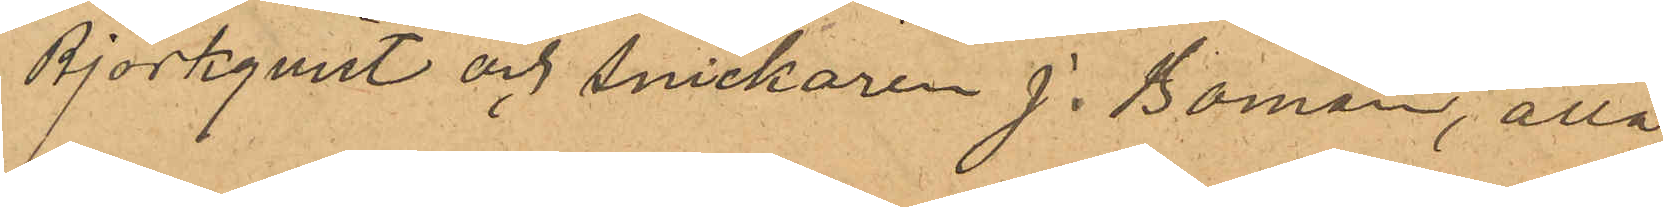Björkqvist och snickaren J. Boman, alla
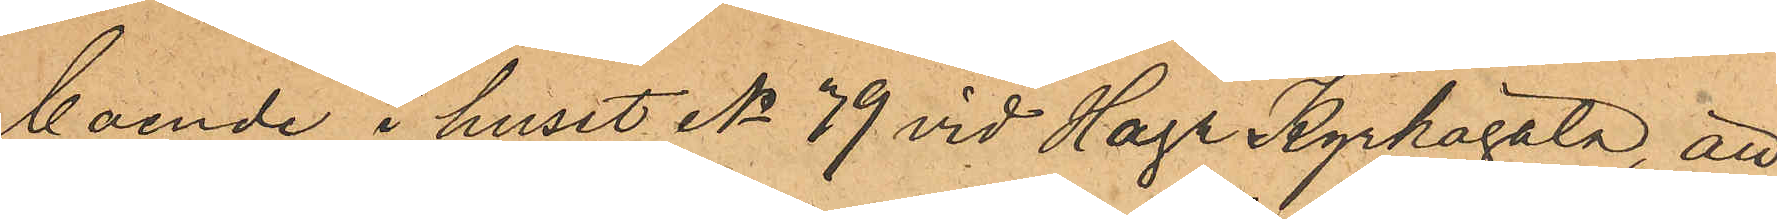boende i huset No 39 vid Haga Kyrkogata, att
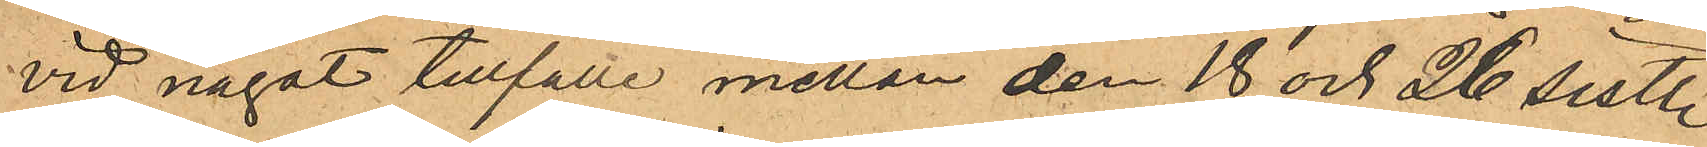vid något tillfälle mellan den 18 och 26 sistl.
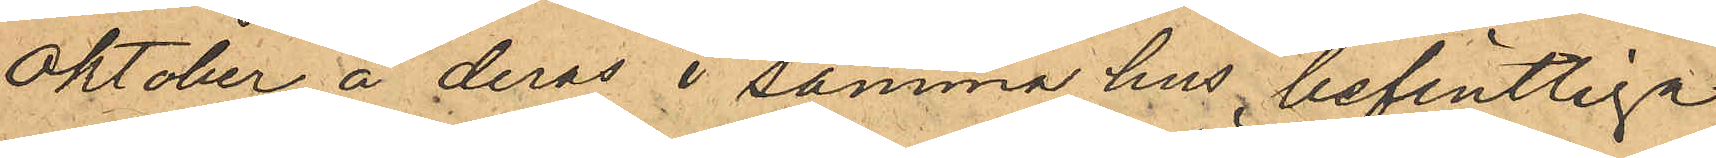Oktober å deras i samma hus befintliga
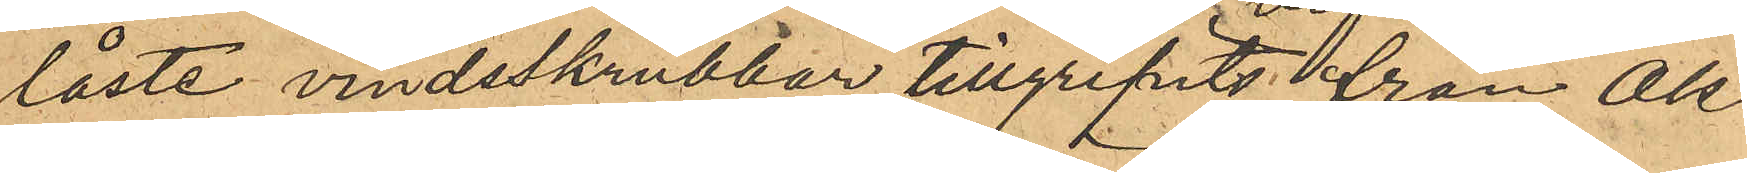låste vindsskrubbar tillgripits från Ols¬
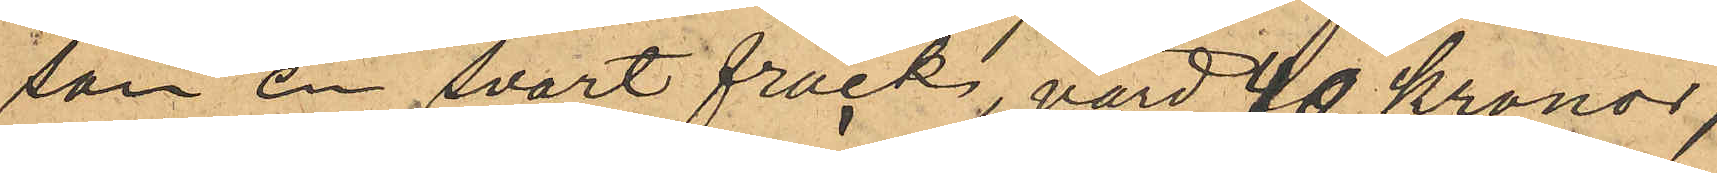son en svart frack, värd 40 Kronor,
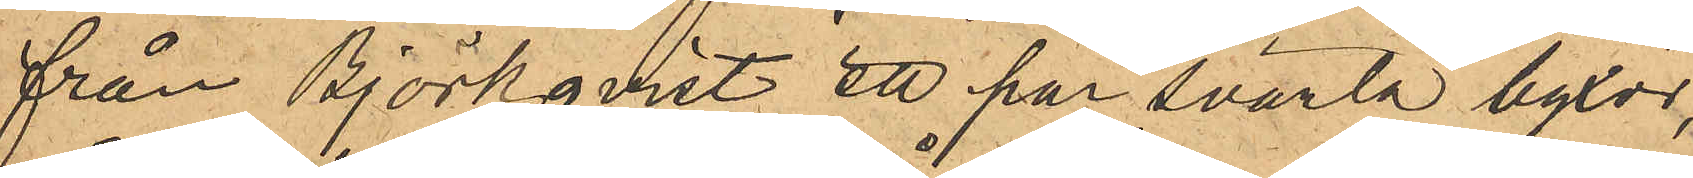från Björkqvist ett par svarta byxor,
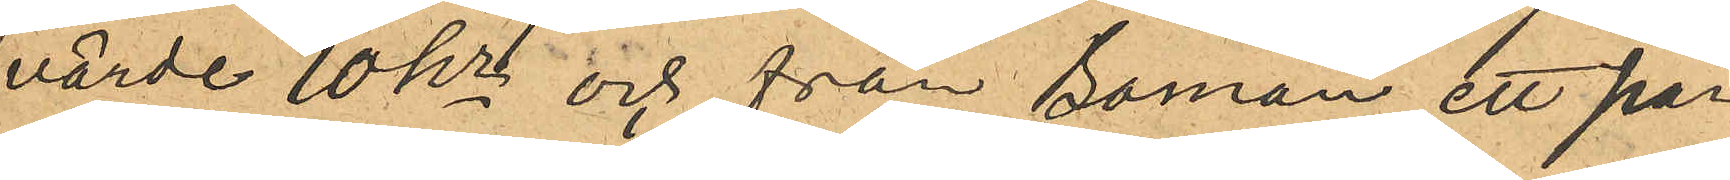värde 10 Kr och från Boman ett par
